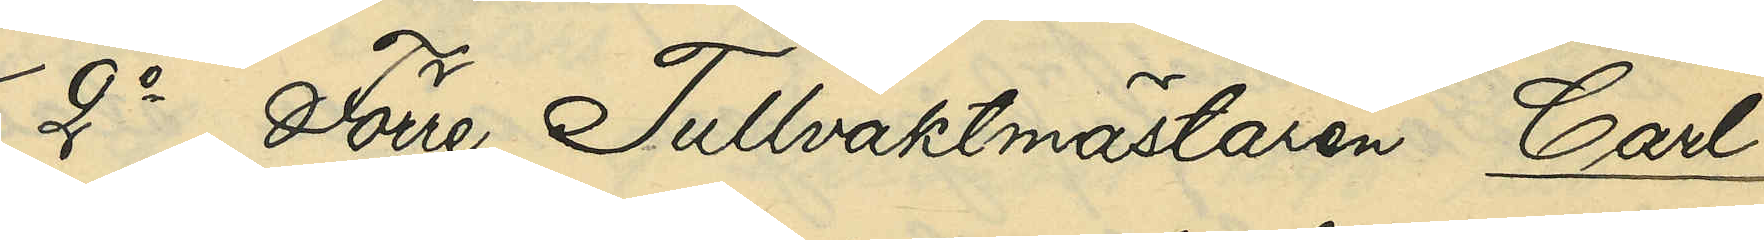2o Förre Tullvaktmästaren Carl
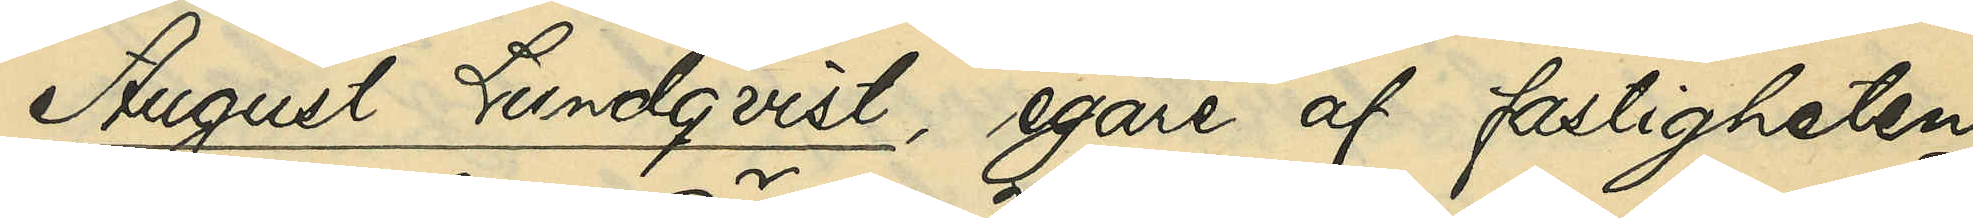August Lundqvist, egare af fastigheten
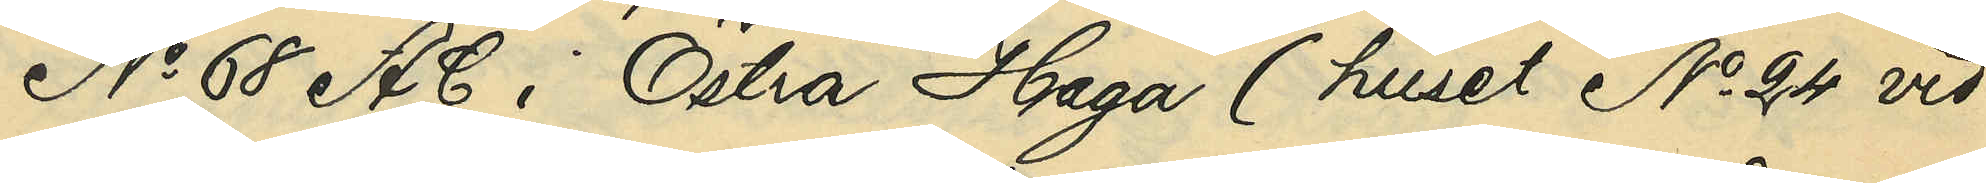No 68 A C i Östra Haga (huset No 24 vid
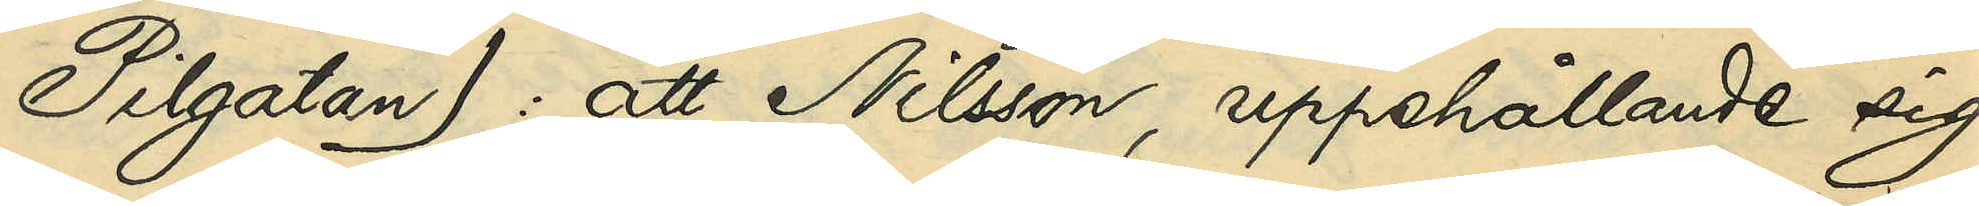Pilgatan): att Nilsson, uppehållande sig
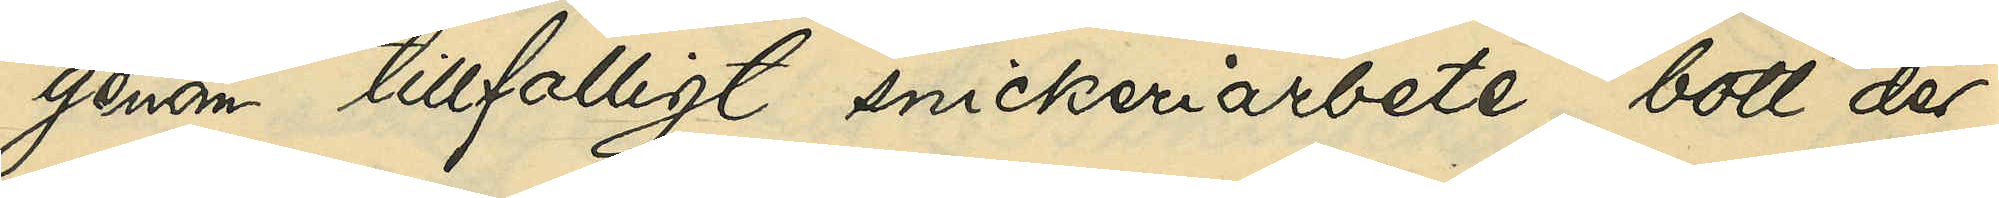genom tillfälligt snickeriarbete, bott der¬
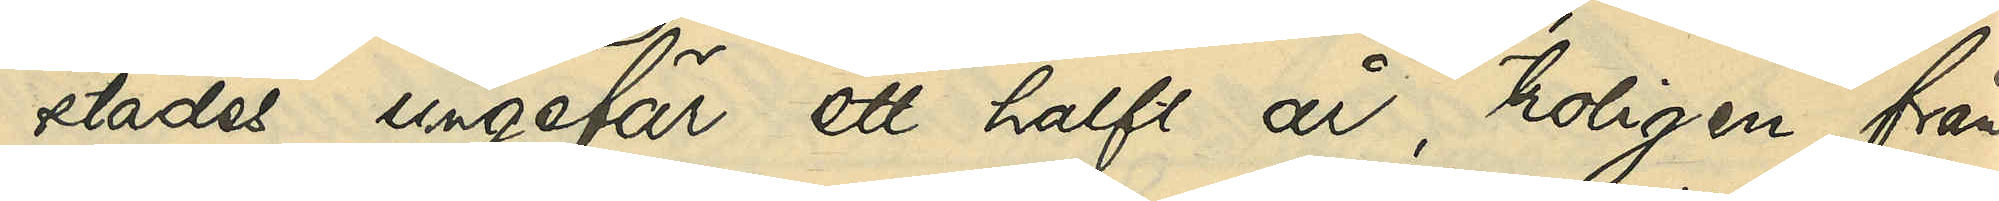städes ungefär ett halft år, troligen från
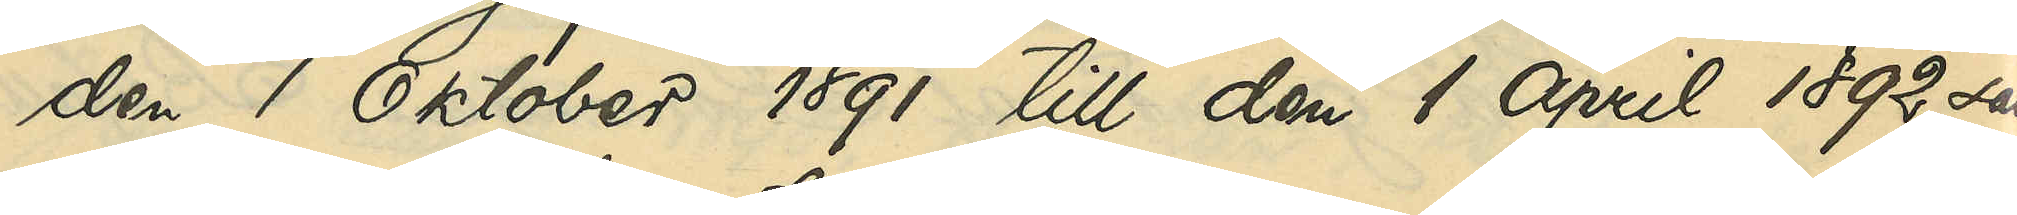den 1 Oktober 1891 till den 1 April 1892; samt
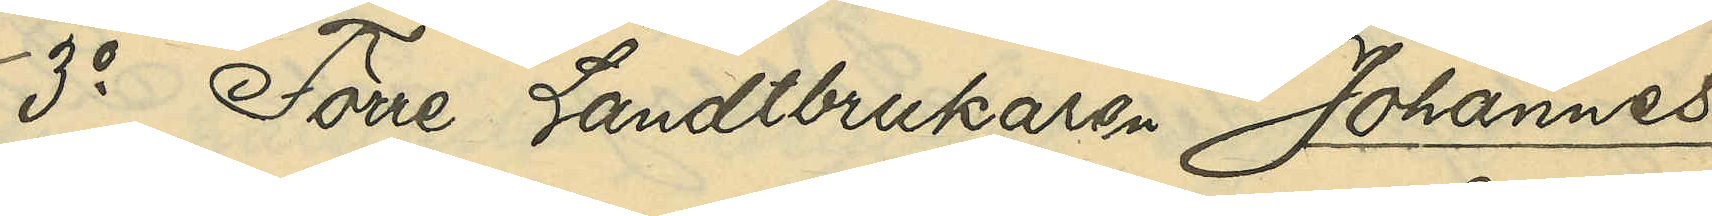3o Förre Landtbrukaren Johannes
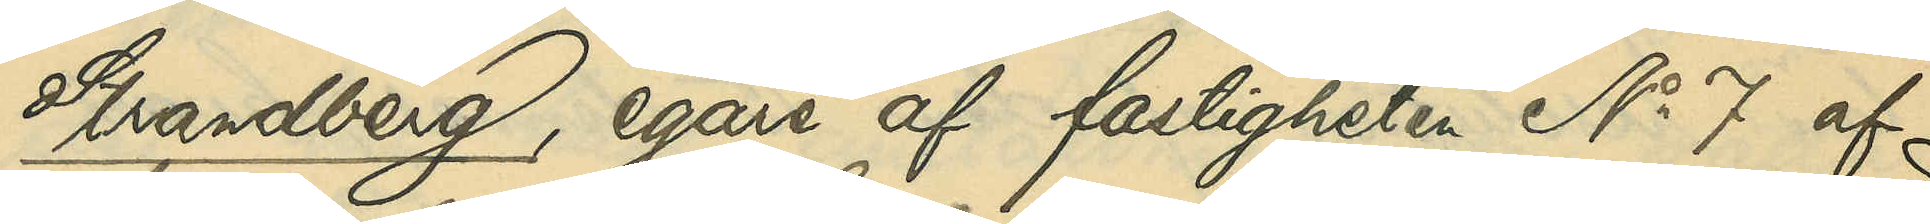Strandberg, egare af fastigheten No 71 vid
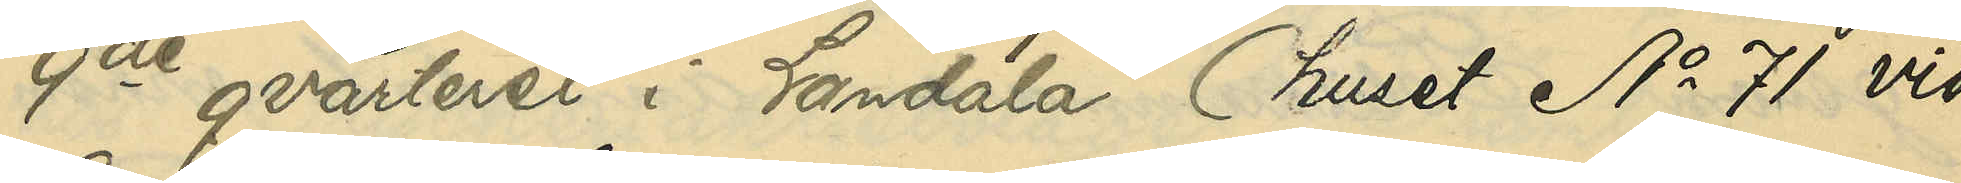9de qvarteret i Landala (huset No 71 vid
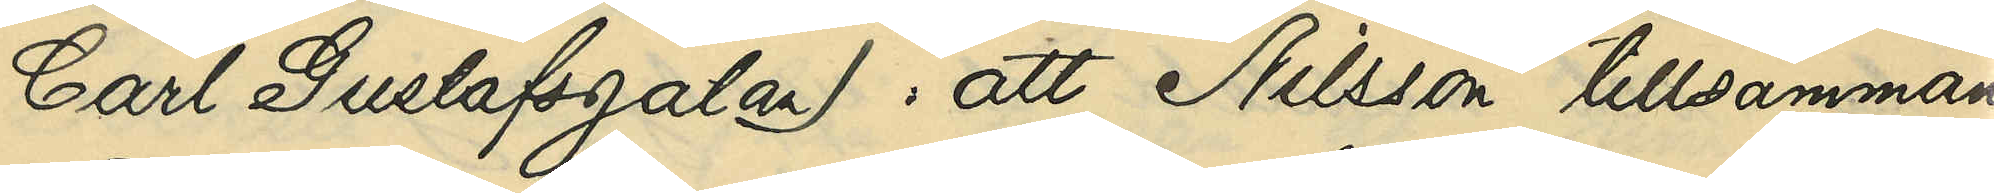Carl Gustafsgatan): att Nilsson tillsammans
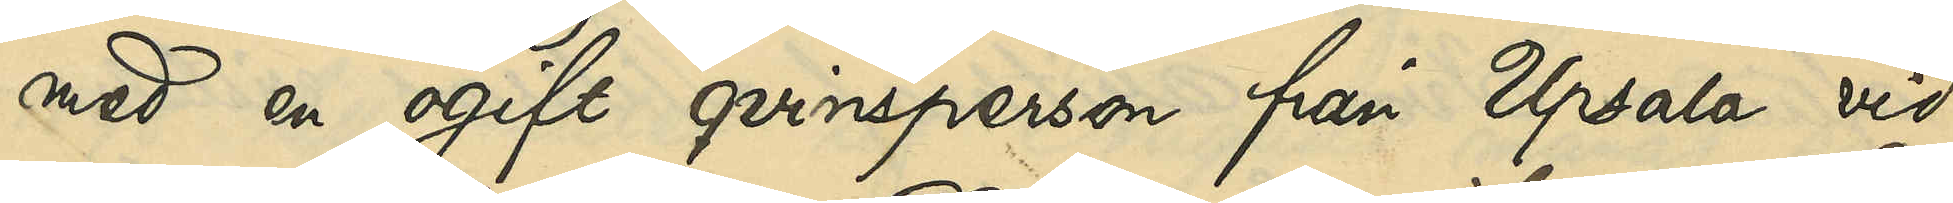med en ogift qvinsperson från Upsala vid
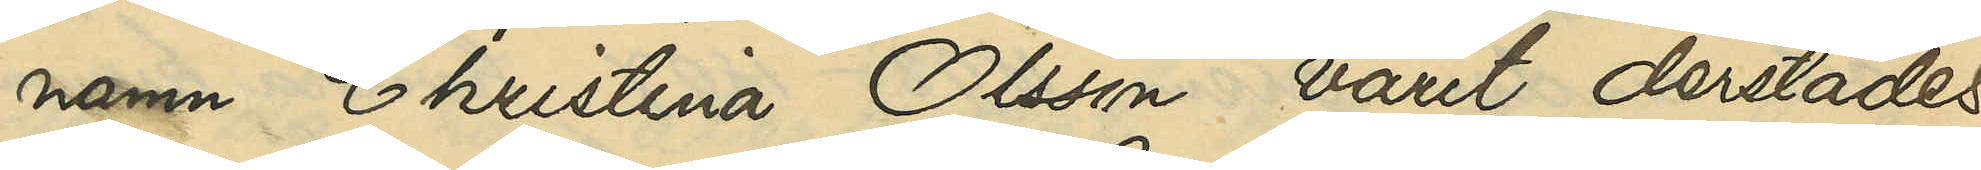namn Christina Olsson varit derstädes
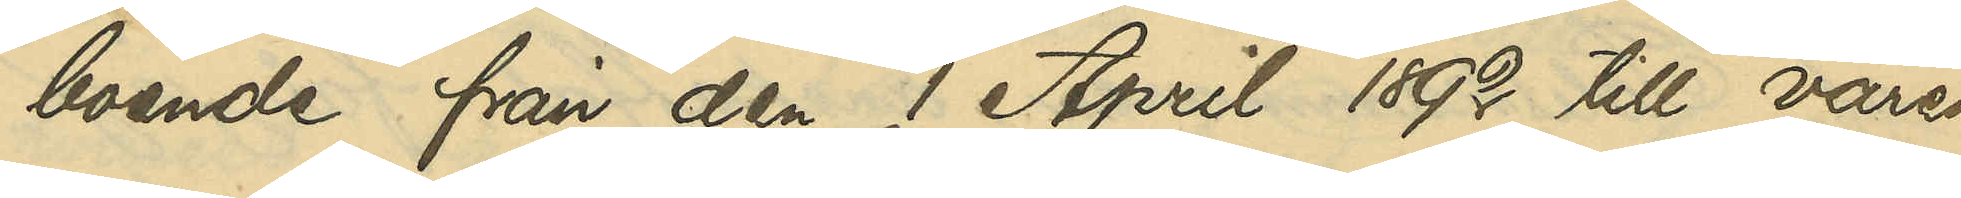boende från den 1 April 1892 till våren
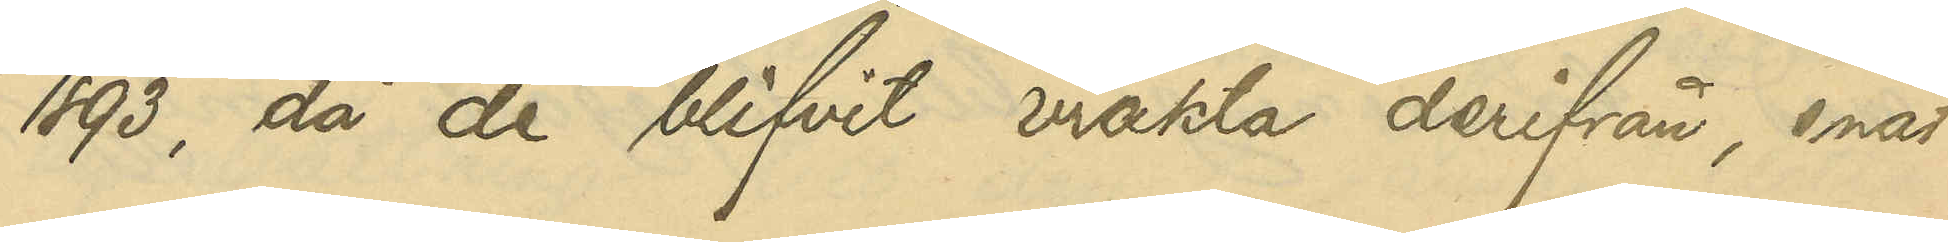1893, då de blifvit vräkta derifrån, enär
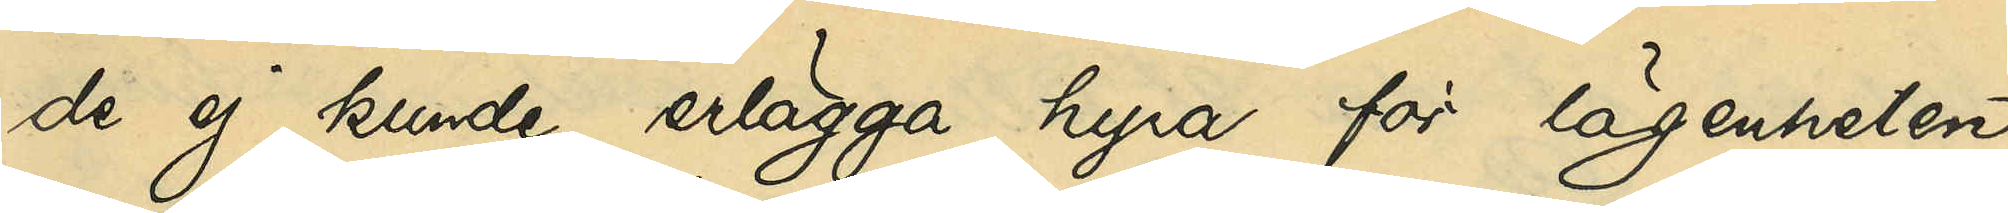de ej kunde erlägga hyra för lägenheten;
